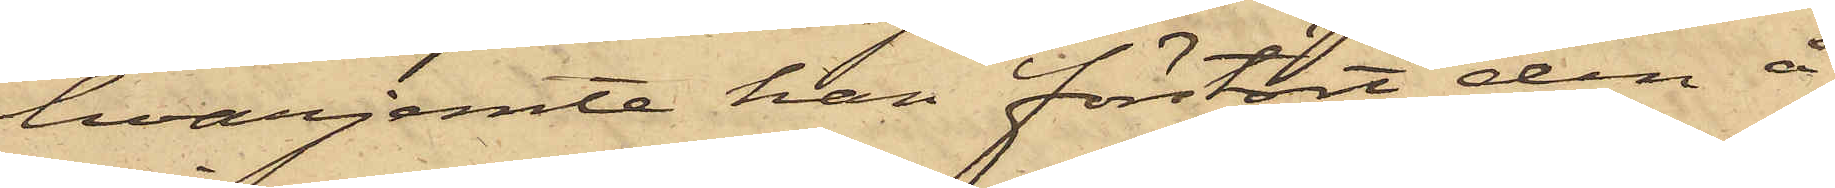hvarjemte han förstört den å
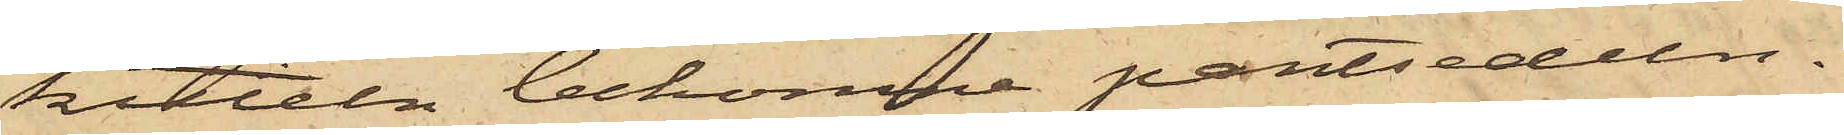kitteln bekomne pantsedeln.
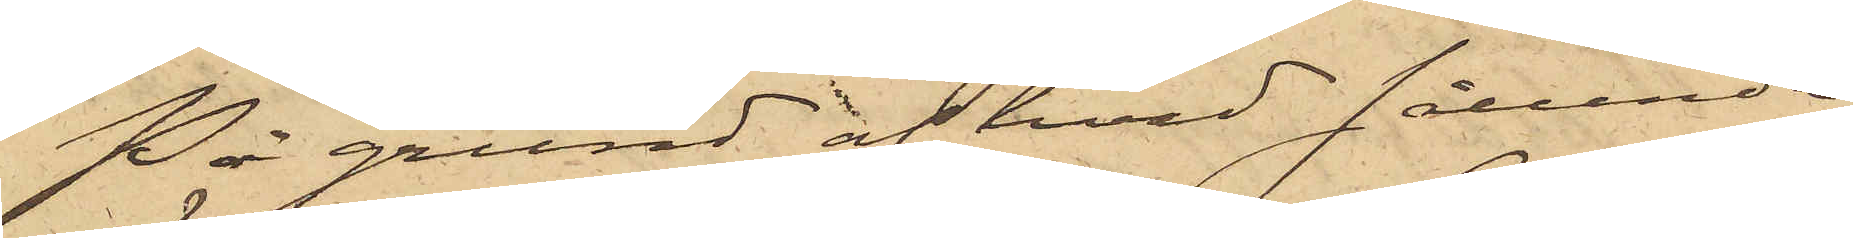På grund af hvad sålunda
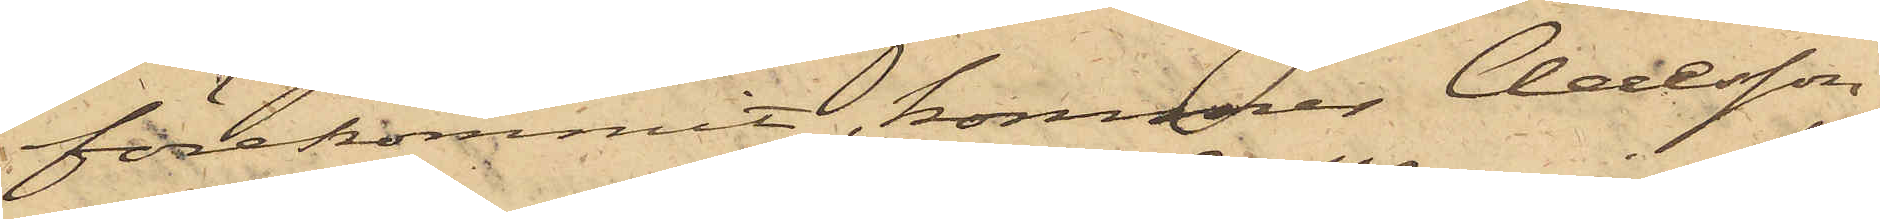förekommit, kommer Claesson
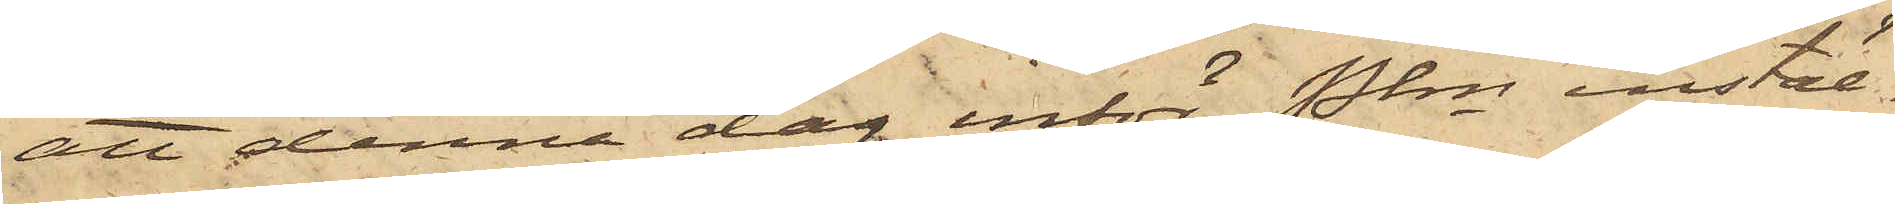att denna dag inför Pkn instäl¬
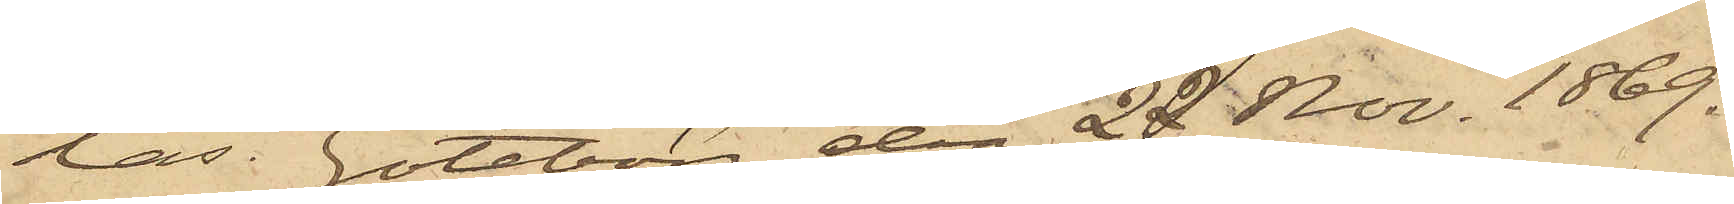las. Göteborg den 22 Nov. 1869.
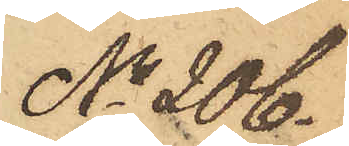No 206.
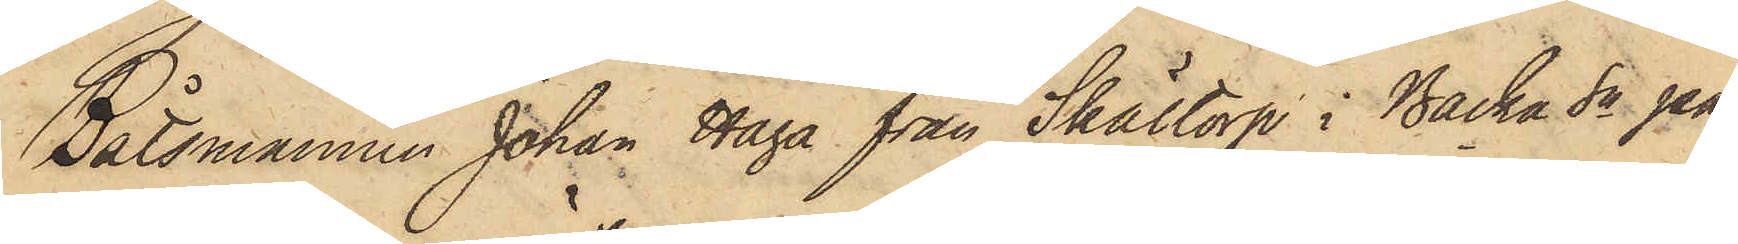Båtsmannen Johan Haga från Skältorp i Backa Sn på
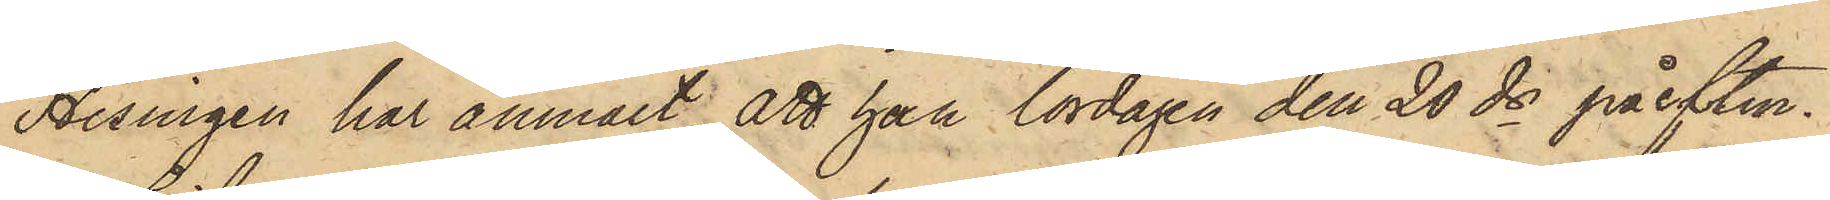Hisingen har anmält, att han lördagen den 20 ds på eftm.
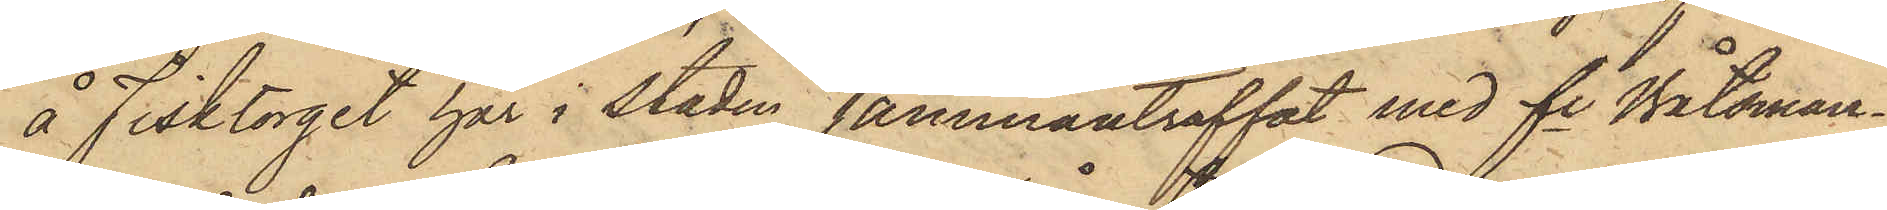å Fisktorget här i staden sammanträffat med fe Båtsman¬
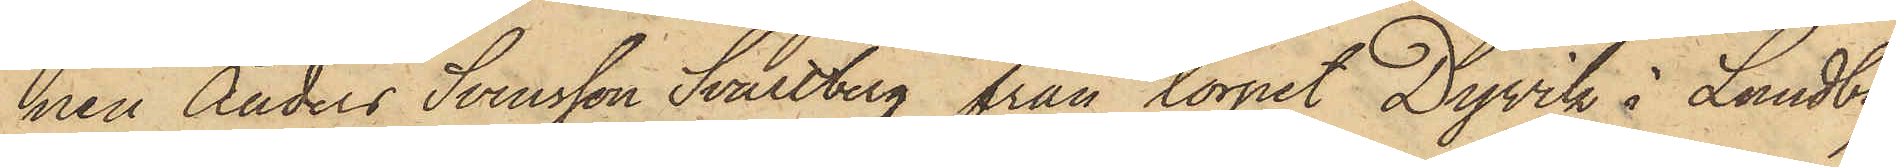nen Anders Svensson Svartberg från torpet Dyvik i Lundby
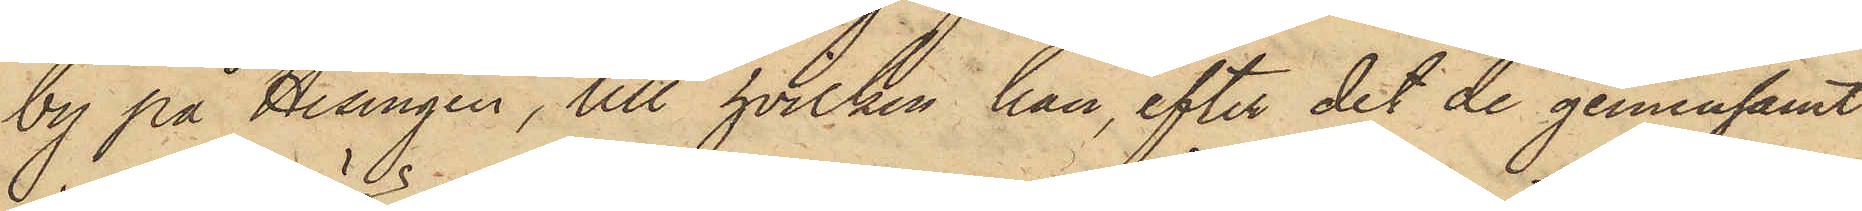by på Hisingen, till hvilken han, efter det de gemensamt
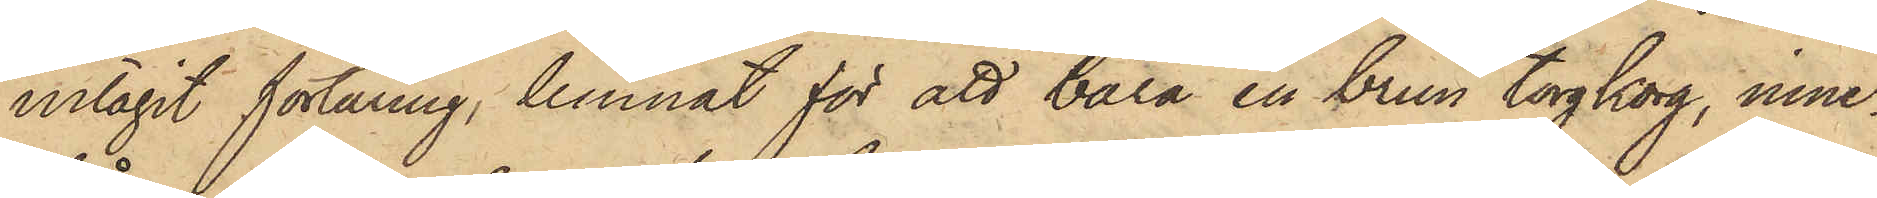intagit förtäring, lemnat för att bära en brun torgkorg, inne¬
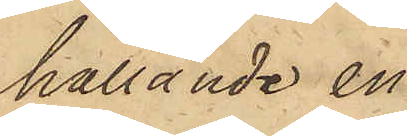hållande en
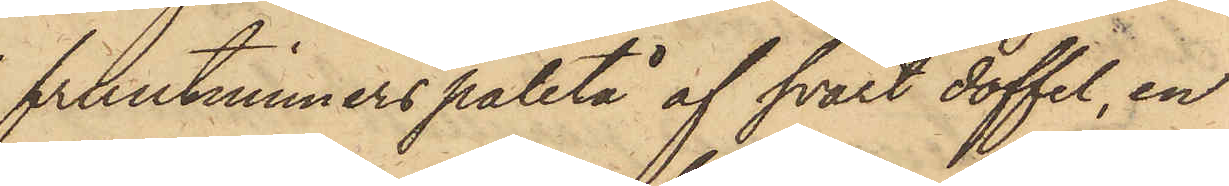fruntimmerspaletå af svart doffel, en
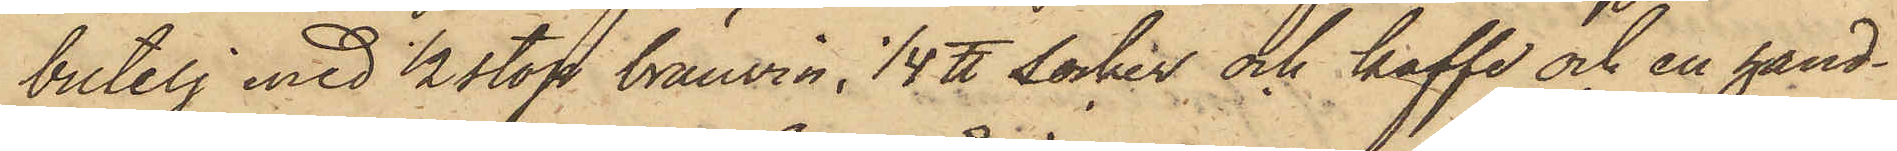butelj med 2 stop bränvin; 1/4 ℔ socker och kaffe och en hand¬
